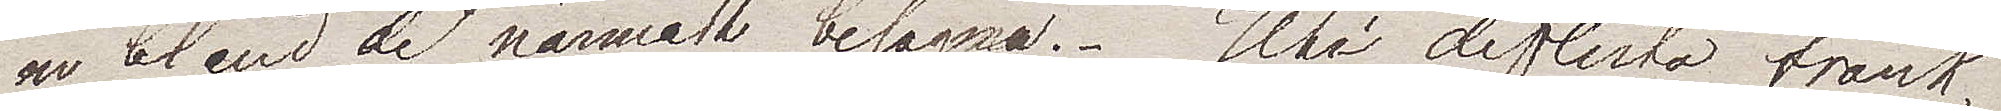en bland de närmaste belägna. Uti de flesta frank¬
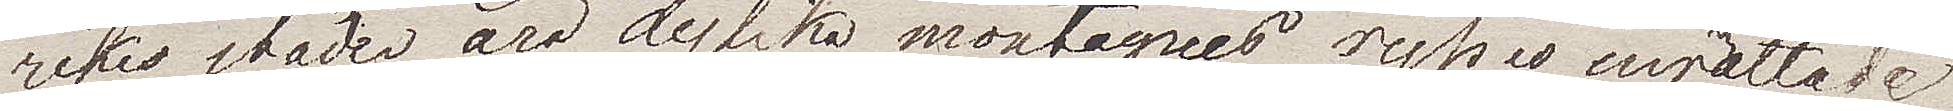rikes städer äro dylika montagnes rysses inrättade
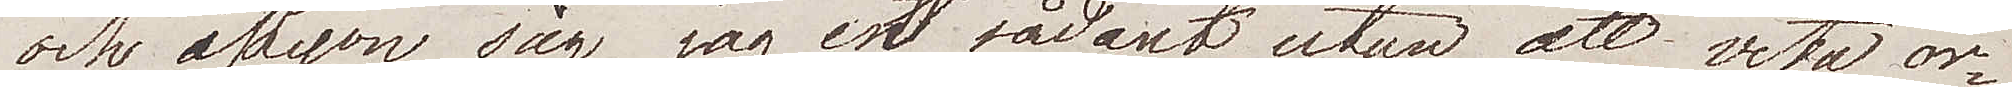och i Lyon såg jag ett sådant utan att veta or¬
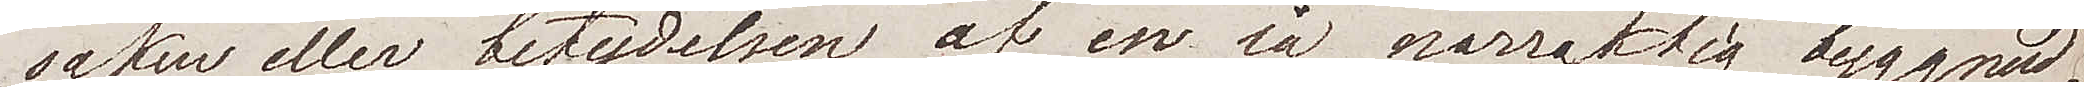saken eller betydelsen af en så narraktig byggnad.
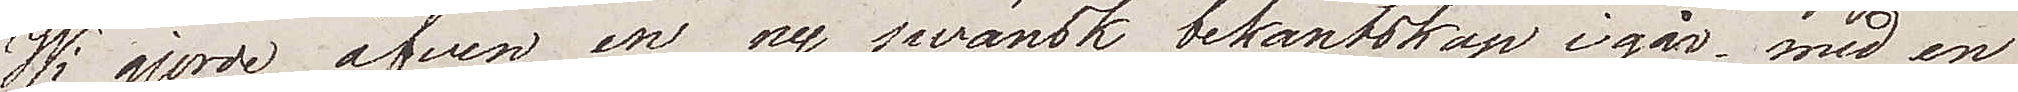Wi gjorde äfven en ny swänsk bekantskap igår med en
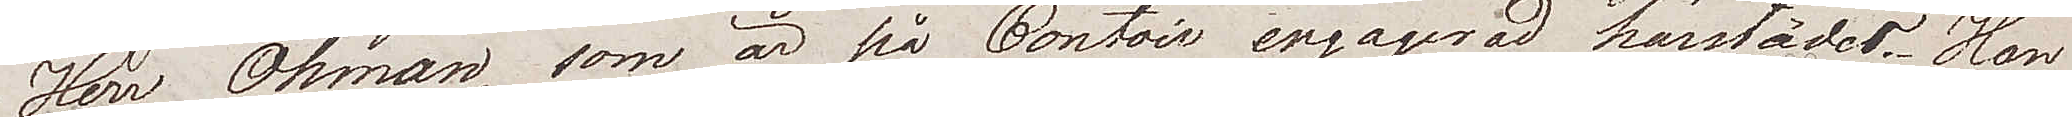Herr Öhman, som är på Contoir engagerad härstädes. Han
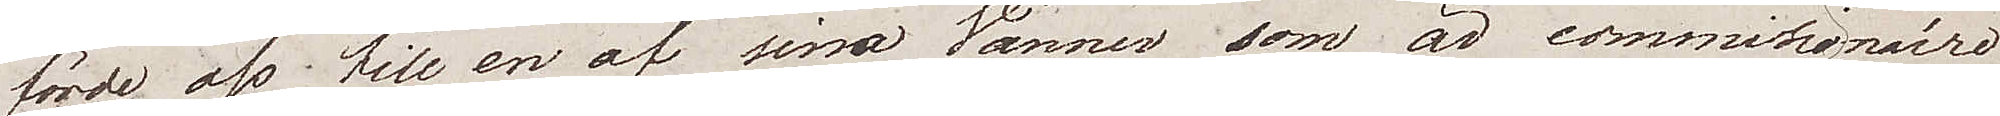förde oss till en av  sina Vänner som är commissionaire
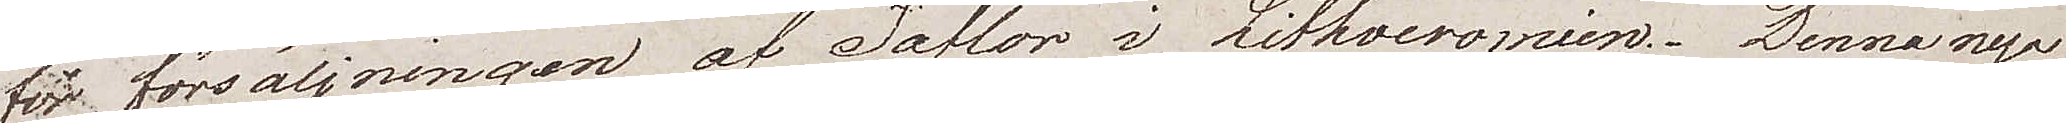för försäljningen af taflor i Lithocromien. Denna nya
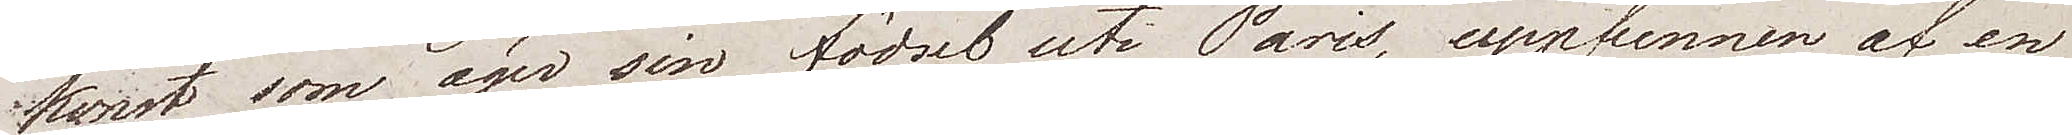konst som äger sin födsel uti Paris, uppfunnen af en
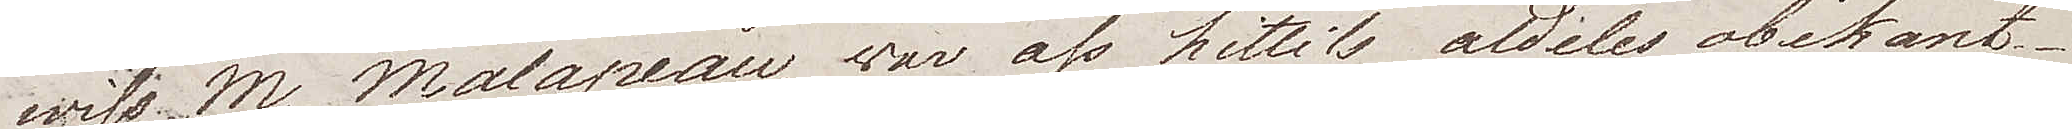wiss M. Malapeau, war oss hittills aldeles obekant.
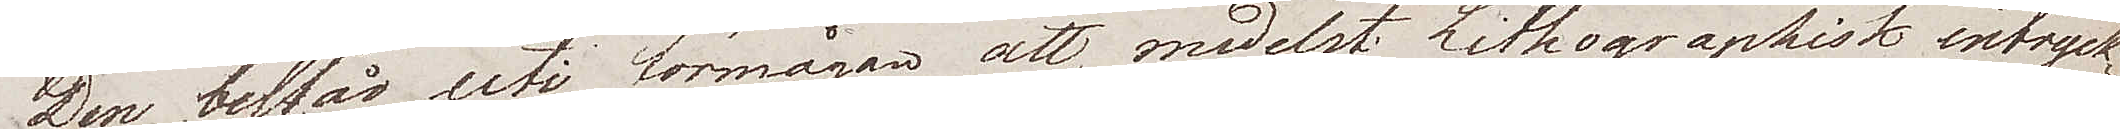Den består uti förmågan att, medelst Lithographisk intryck¬
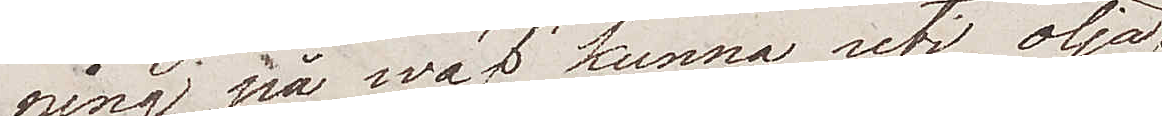ning på wäf, kunna uti olja
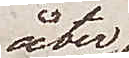åter
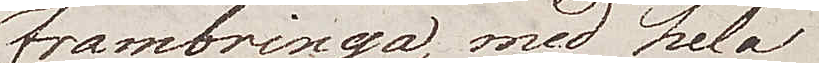frambringa, med hela
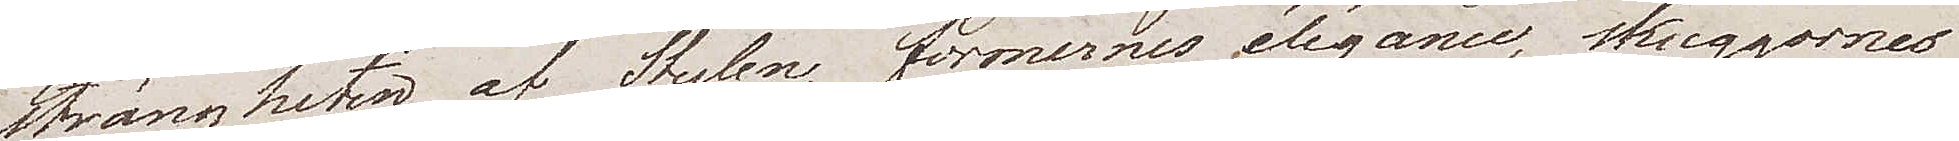strängheten af Stylen, formernes élégance, skuggornes
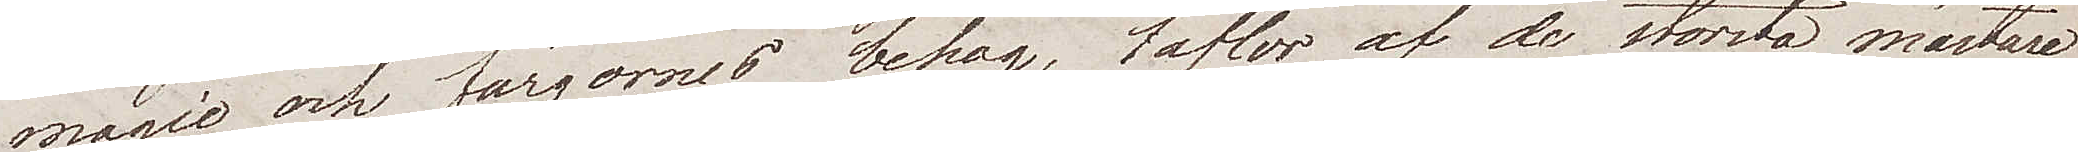magie och färgernes behag, taflor af de största mästare
